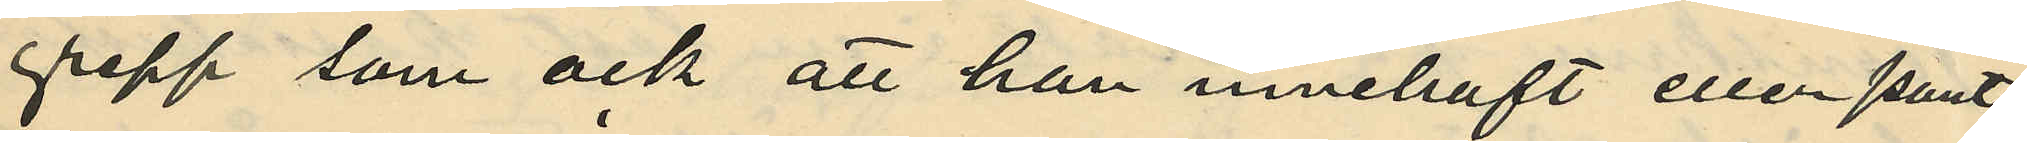gepp som ock att han innehaft eller pant¬
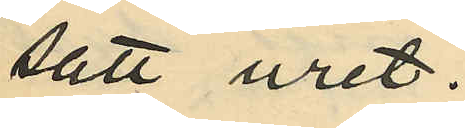satt uret.
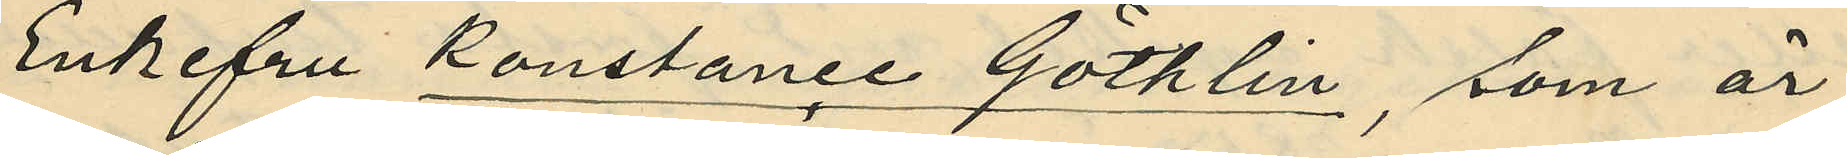Enkefru Konstance Göthlin, som är
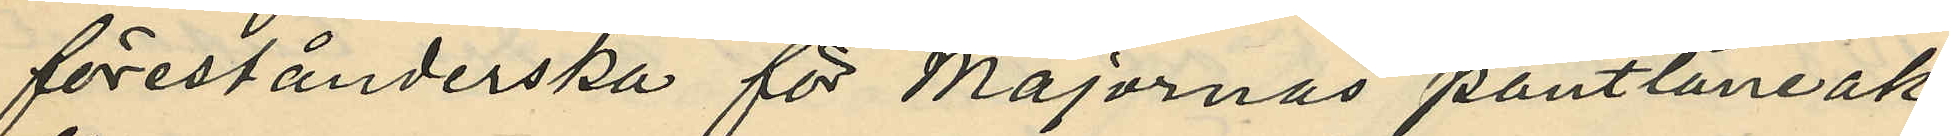förestånderska för Majornas pantlåneak¬
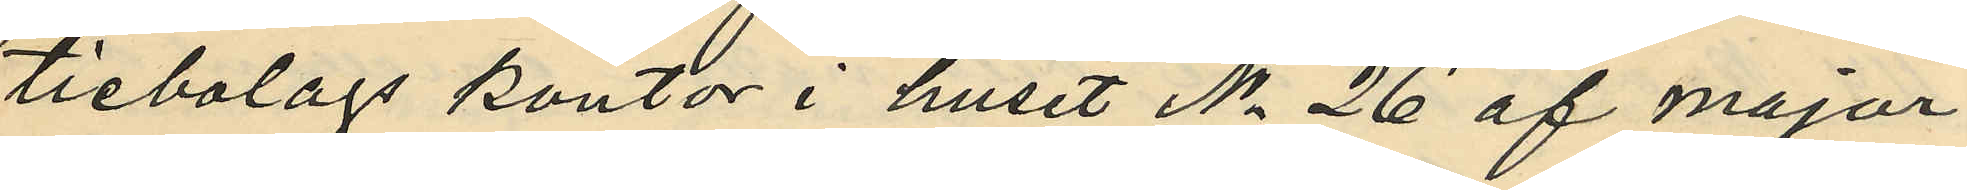tiebolags kontor i huset No 26 af Major¬
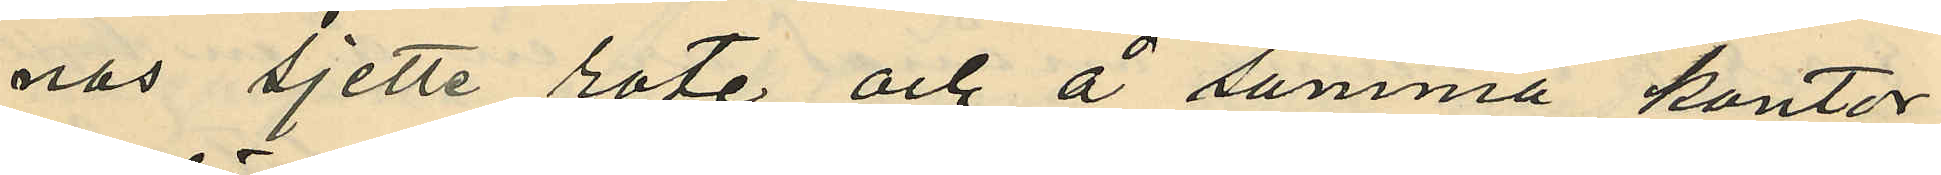nas Sjette rote och å samma kontor
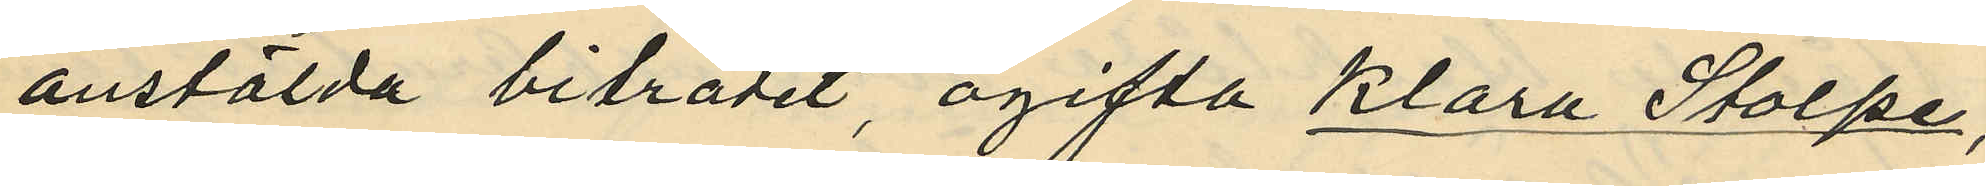anstälda biträdet ogifta Klara Stolpe,
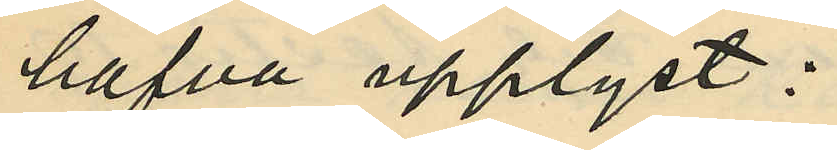hafva upplyst:
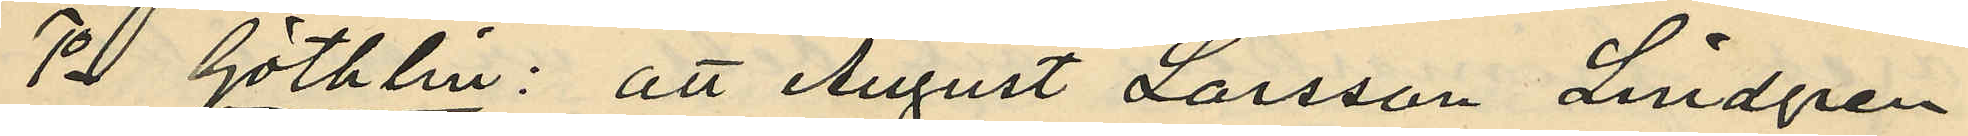1o Göthlin: att August Larsson Lindgren
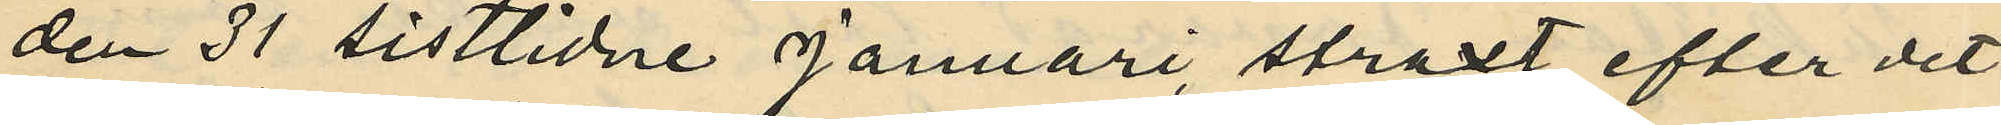den 31 sistlidne Januari, straxt efter det
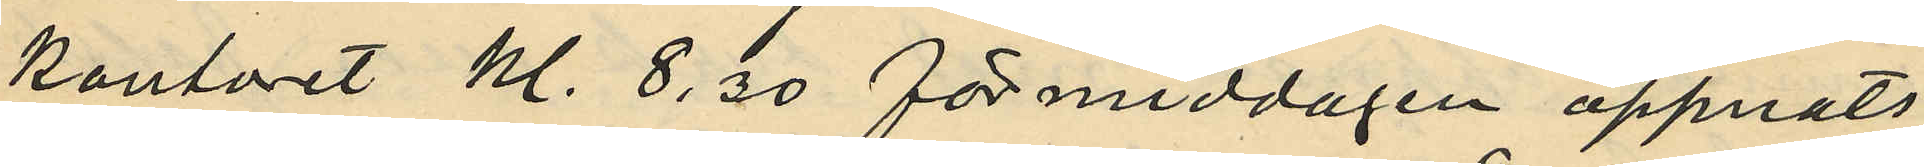kontoret Kl. 8. 30 förmiddagen öppnats,
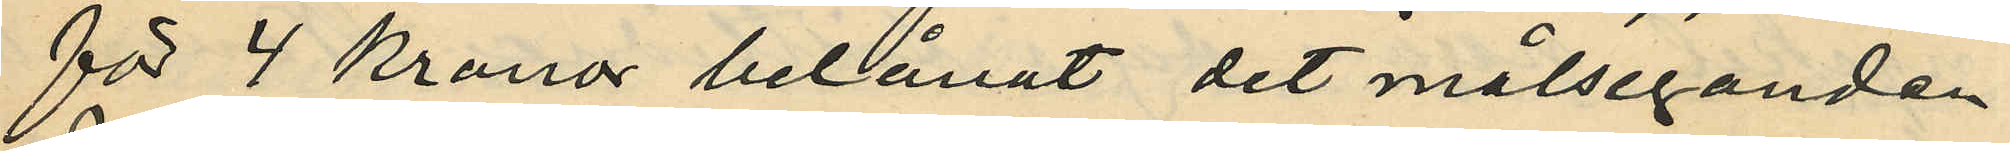för 4 Kronor belånat det målseganden
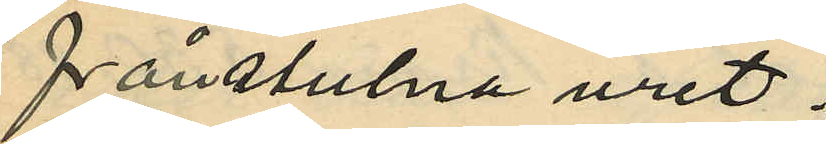frånstulna uret;
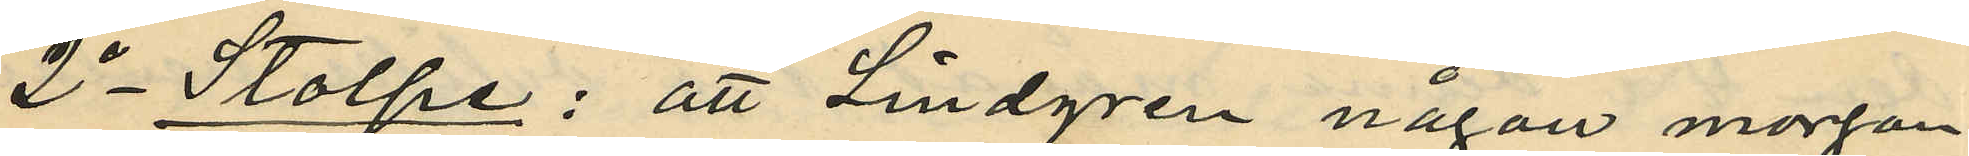2o Stolpe: att Lindgren någon morgon
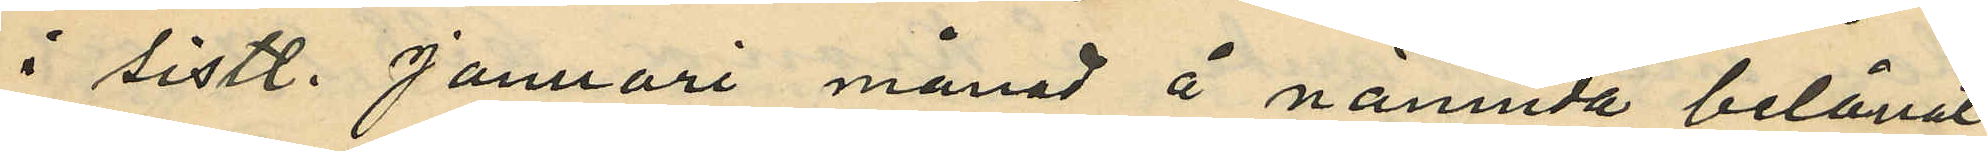i sistl. Januari månad å nämnda belånat
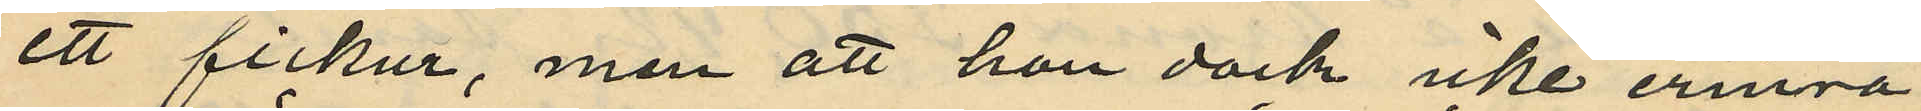ett fickur, men att hon dock icke erinra
